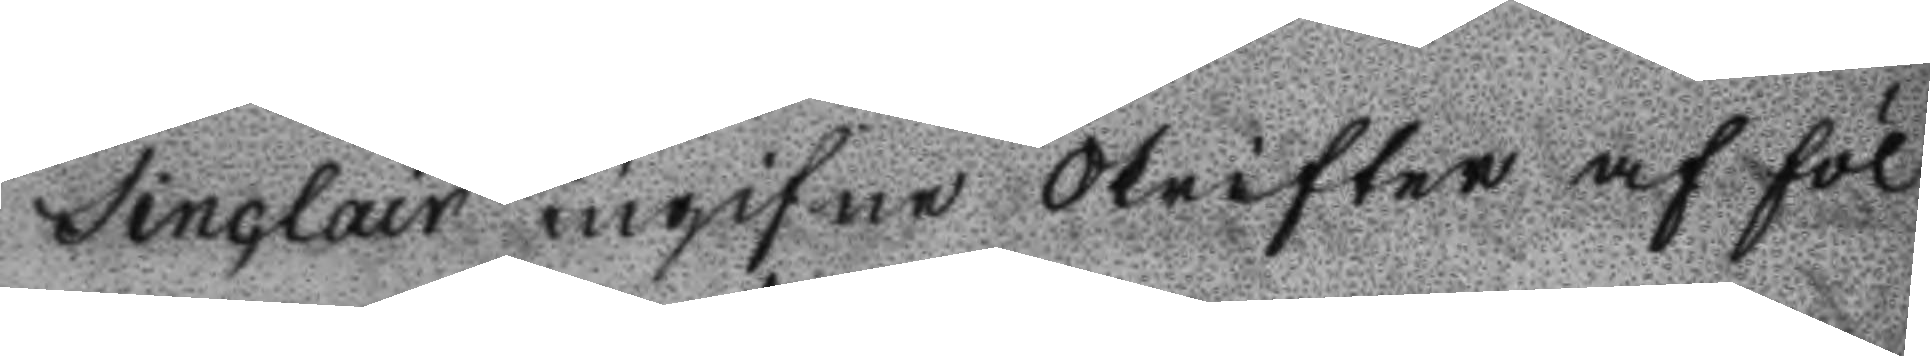Sinclair ingigne Skrifter af föl
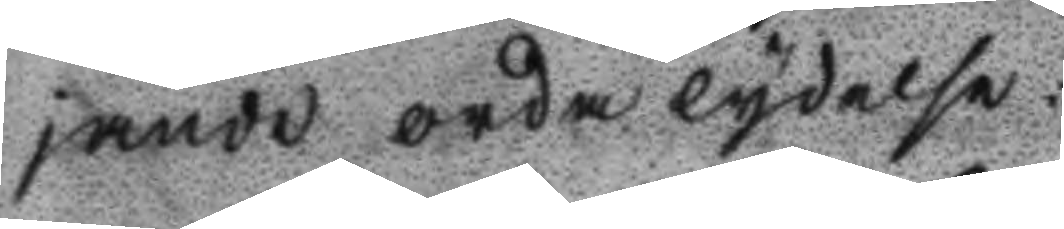jande ordalydelse.
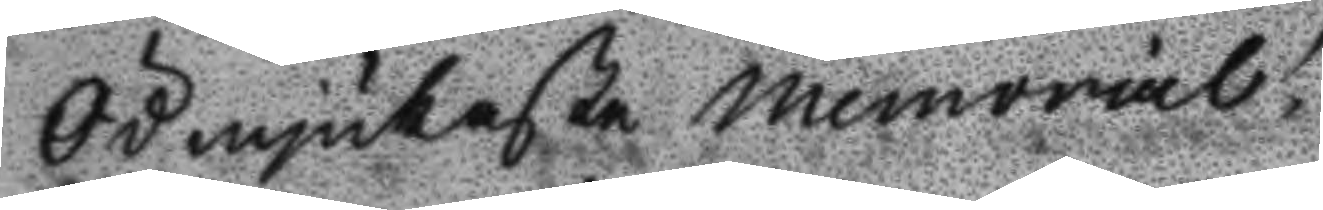Ödmjukaste memorial!
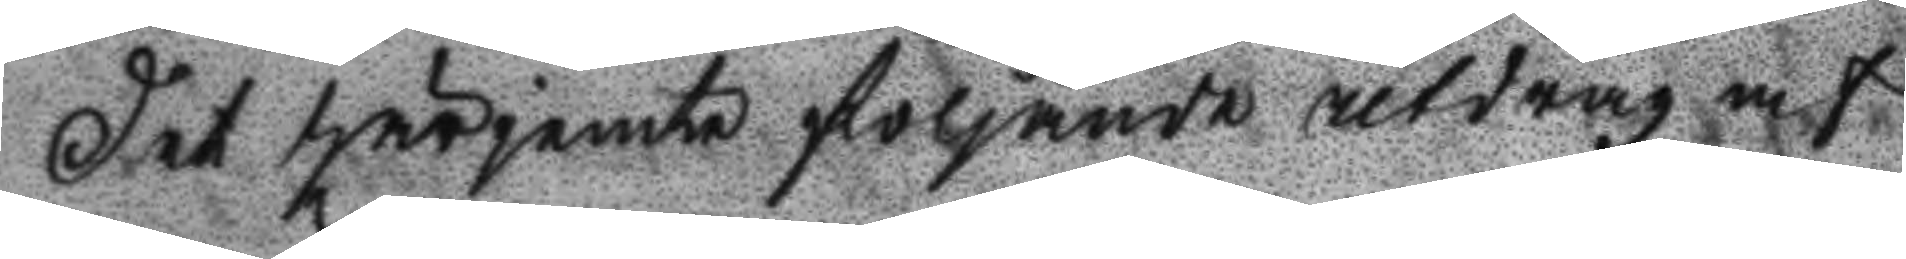Det härjämte följande utdrag af
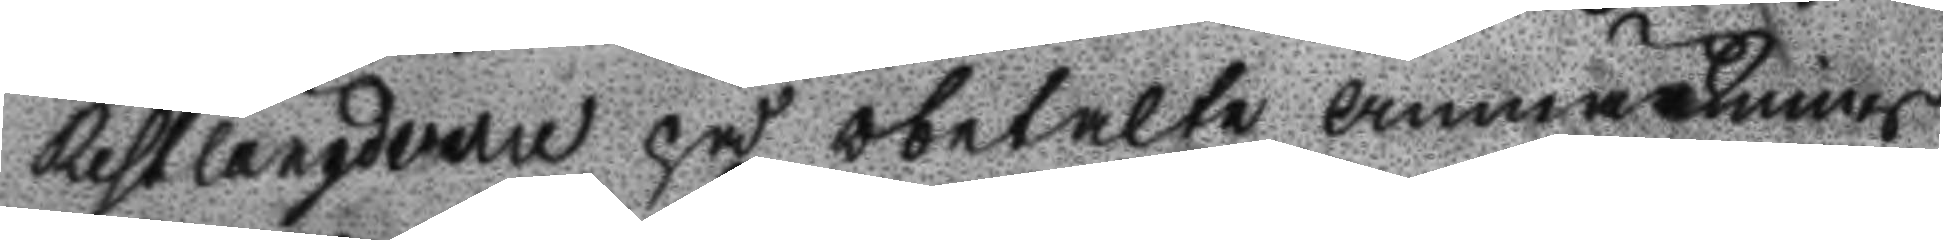Restlängderne på obetalte anmärknings
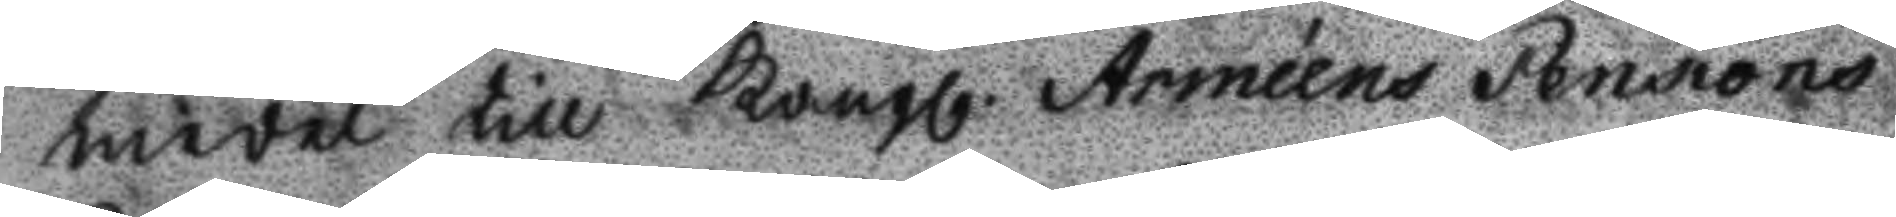medel till Kongl. Armeéns Pensions
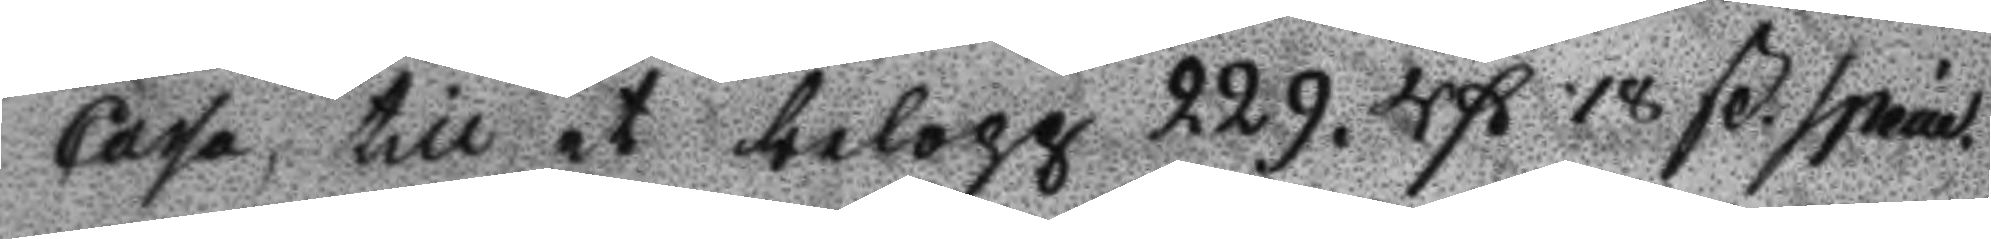Cassa, till et belopp 229. Rß 18 ß specie
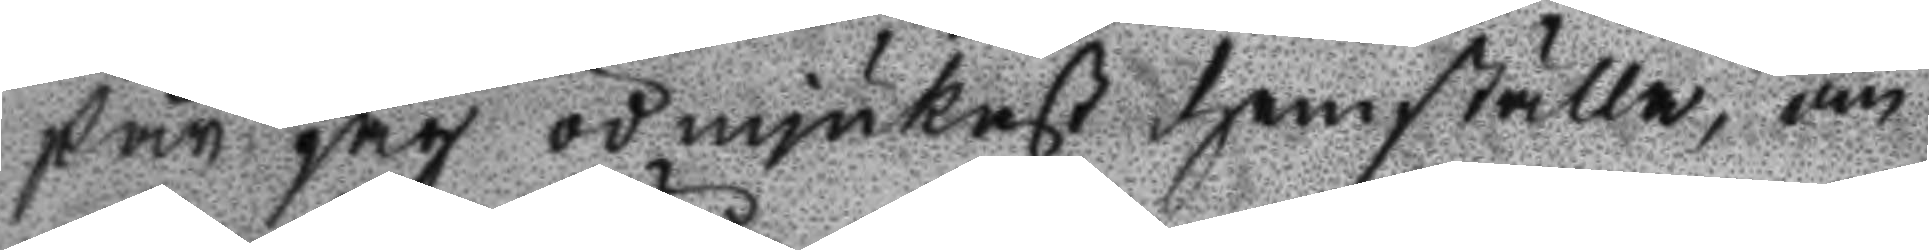får jag ödmjukast hemställa, om
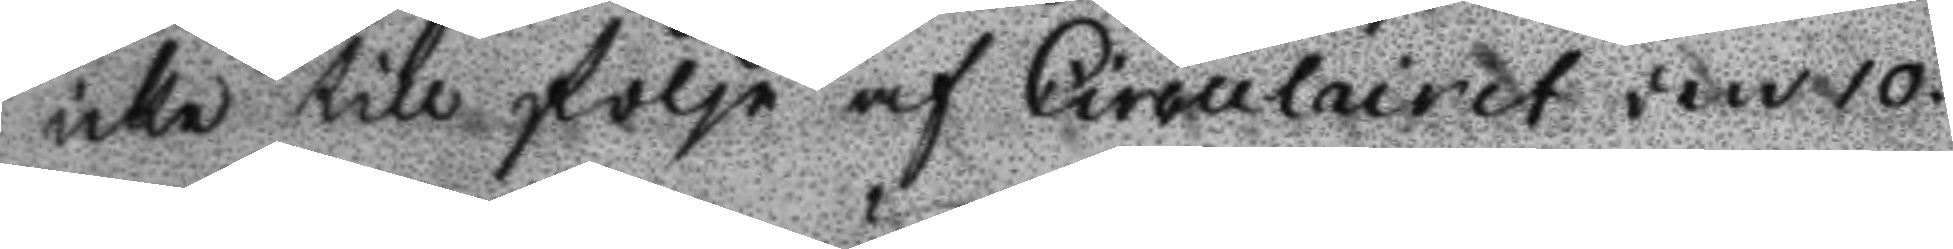icke till följe af Circulairet den 10
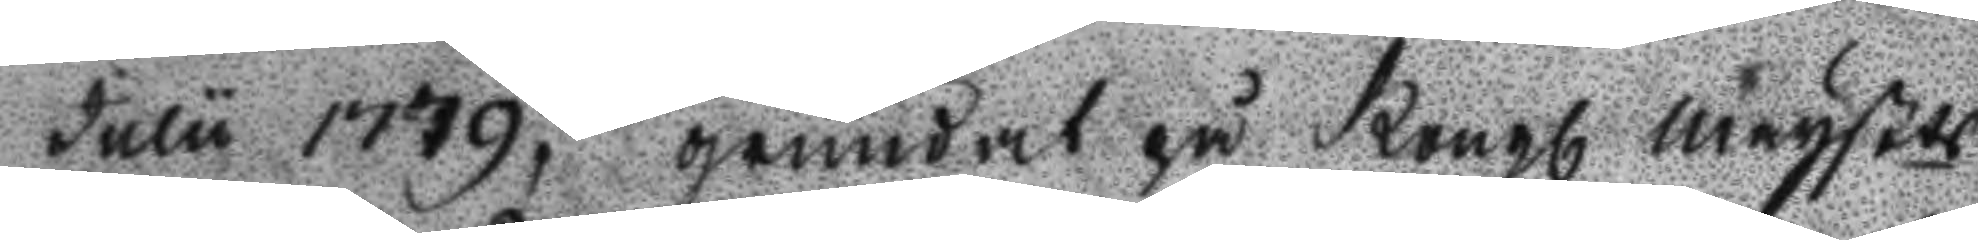Julu 1779, grundat på Kongl Maystst
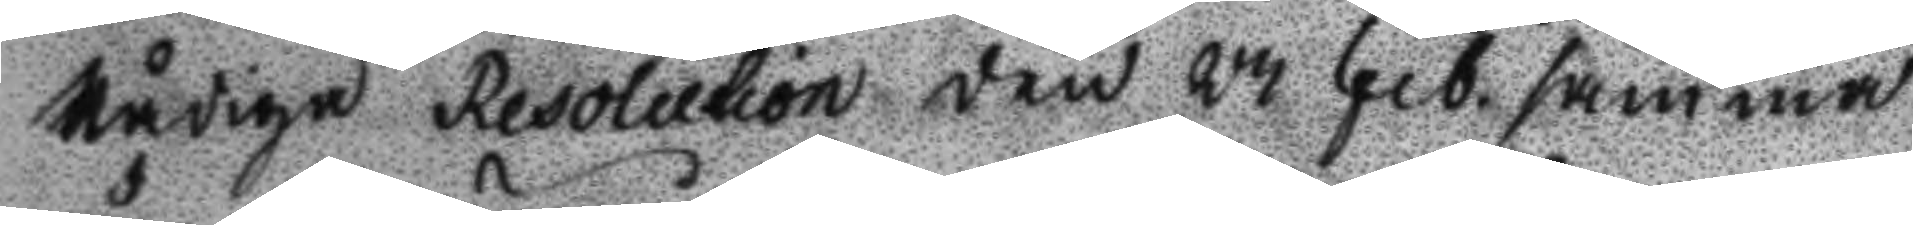Nådiga resolution den 23 Feb. samma
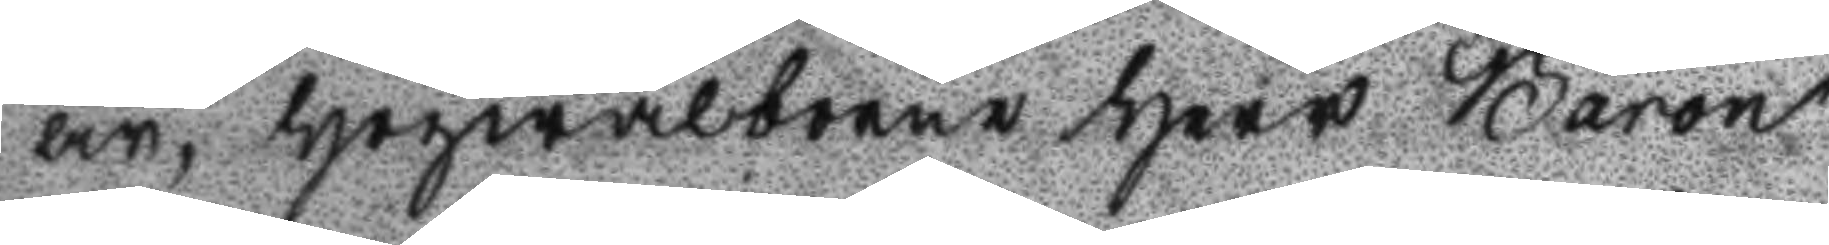år, högwälborne Herr baron
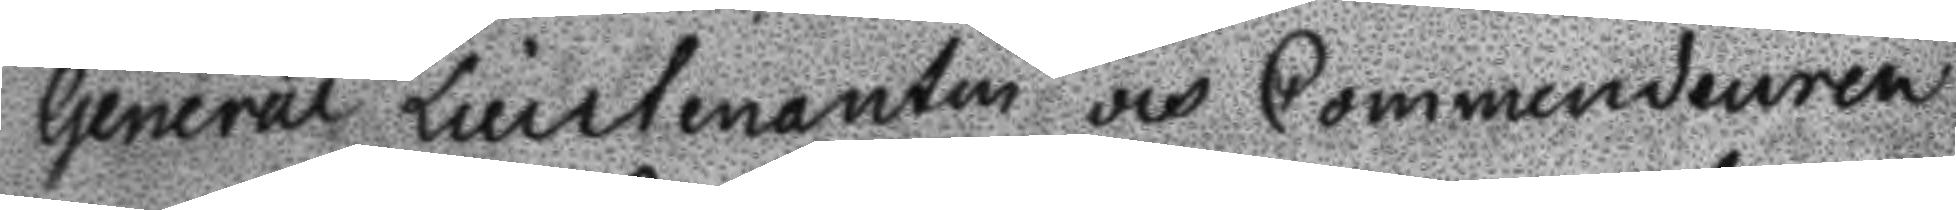general liuetenanten och Commendeuren
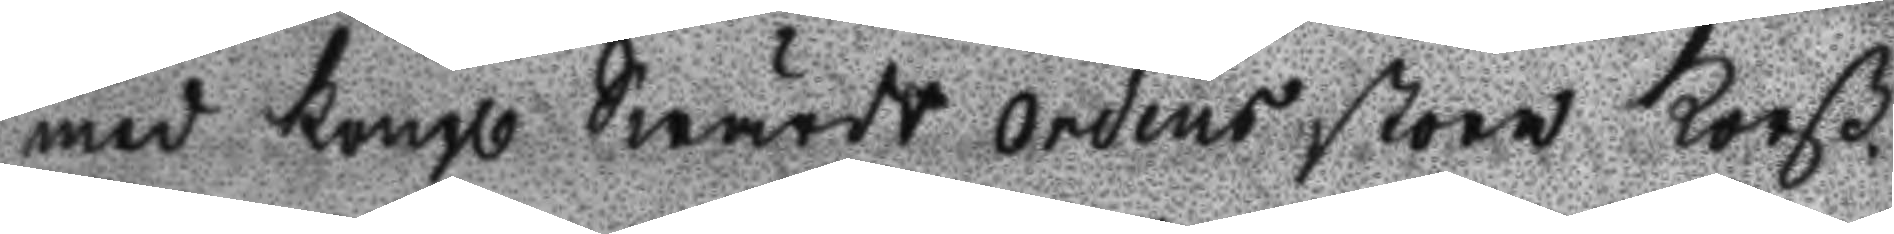med Kongl Swärds Ordens stora Korß
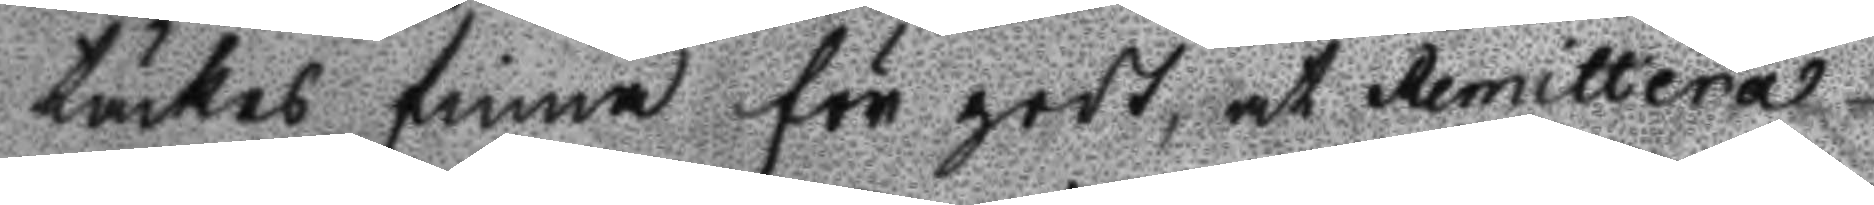täckes finna för godt at Remittera
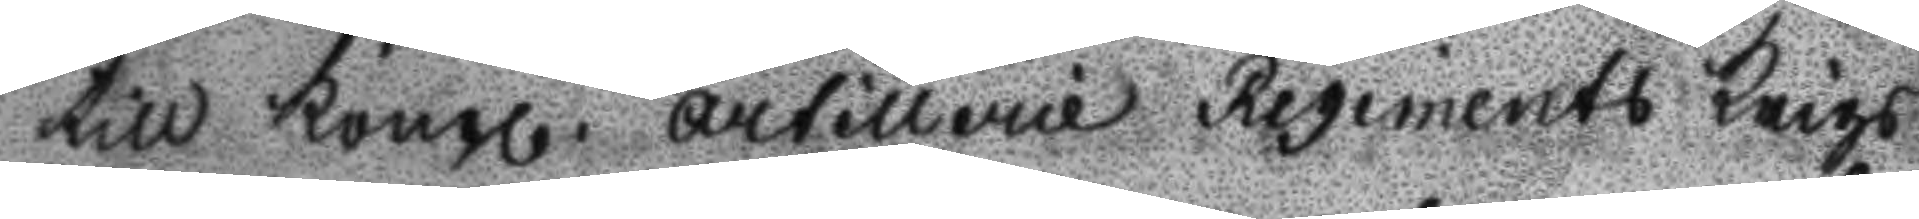till Kongl. Artillerie regements Krigs
